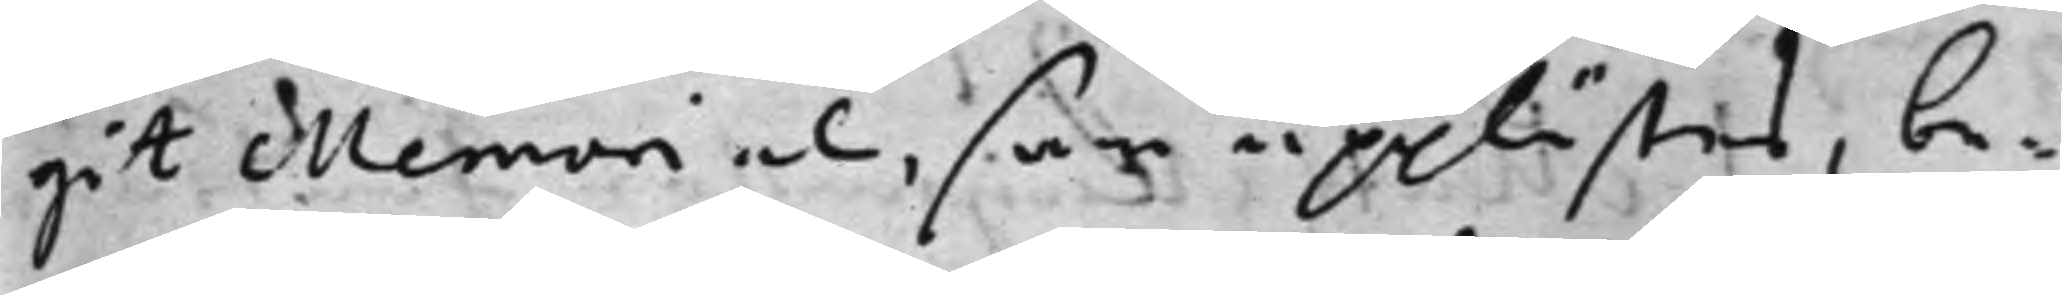git Memorial, som upplästes, be¬
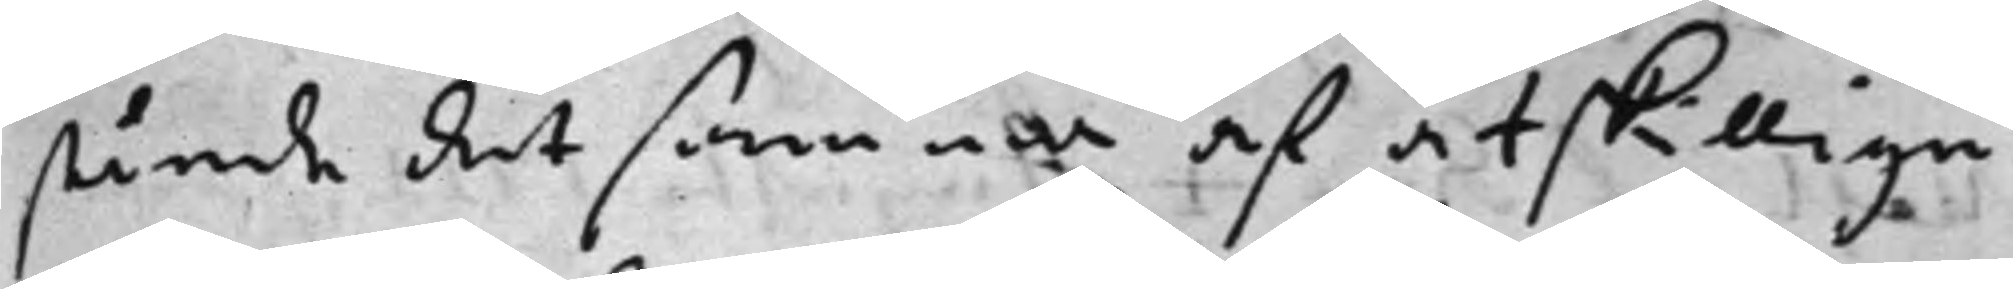stånde det samma af åtskillige
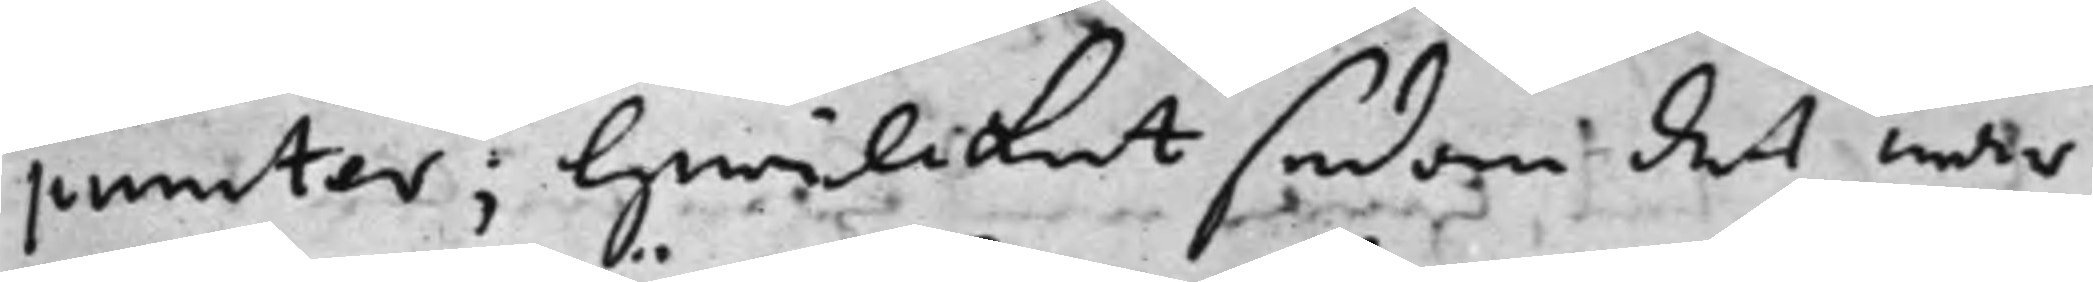puncter; hwilcket sedan det war
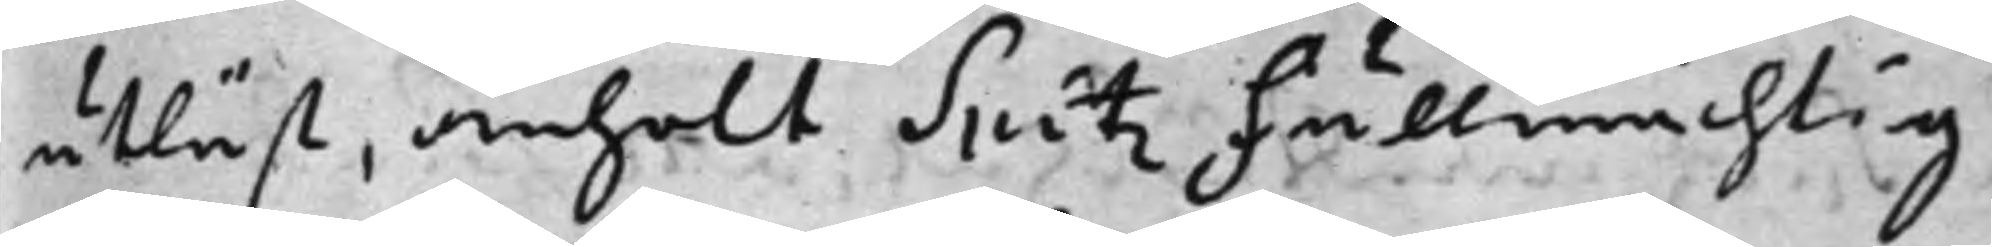utläst, anhölt Spitz Fullmächting
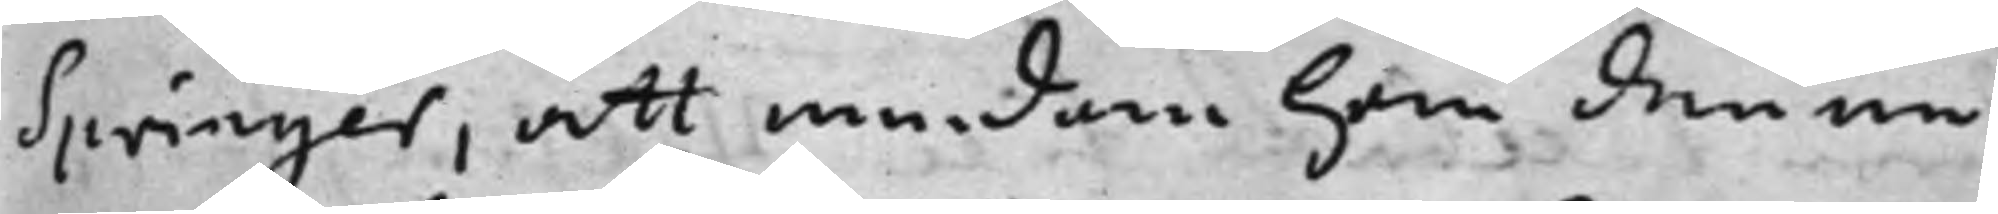Springer, att medan han denna
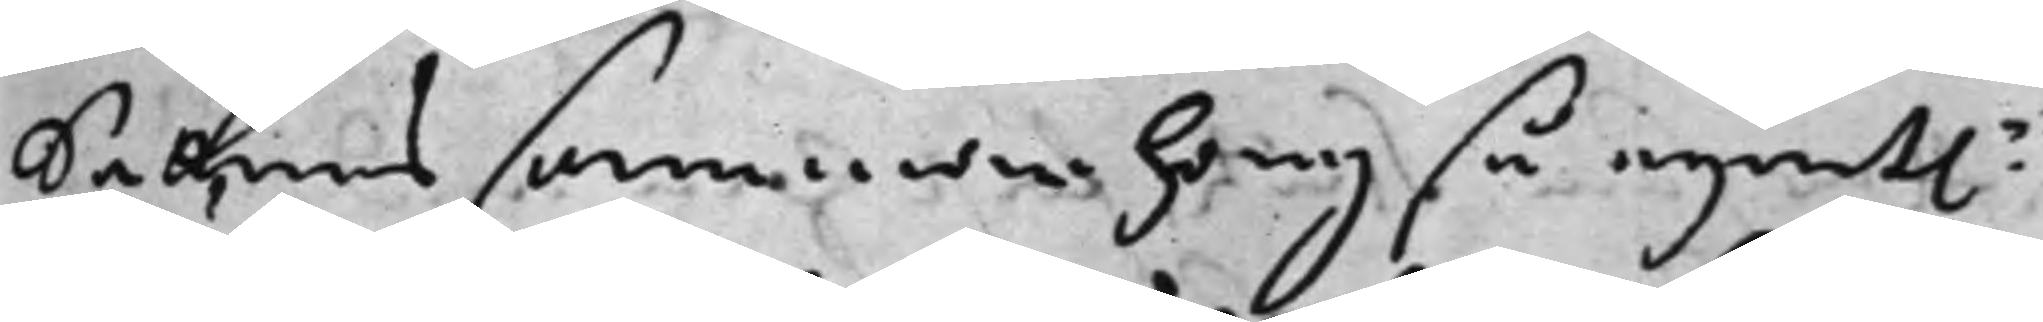Sakens sammanhang så egent: 
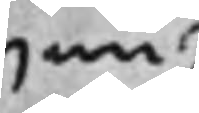nu
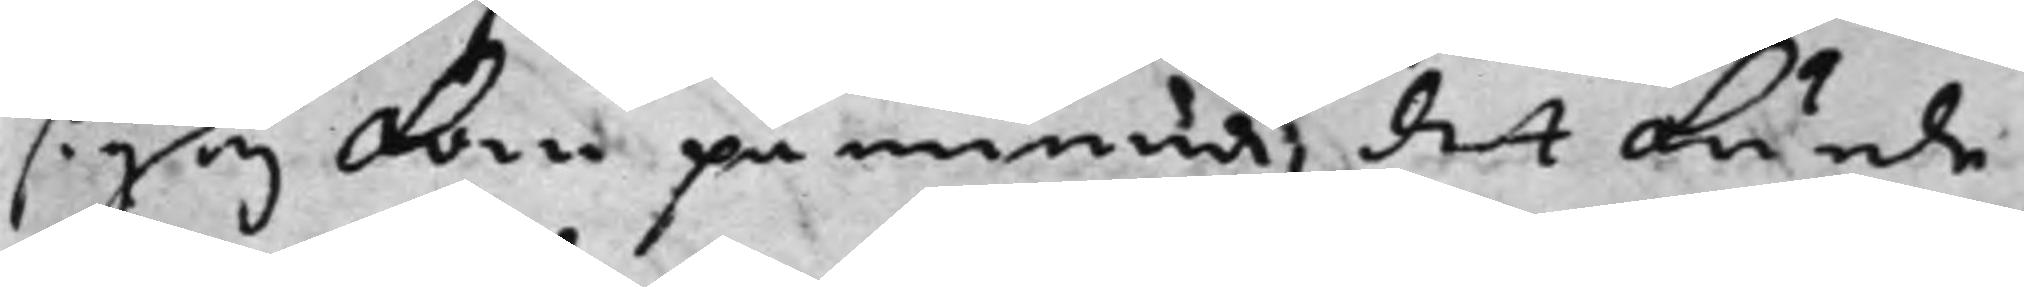sig ej kan påminna, det kunde
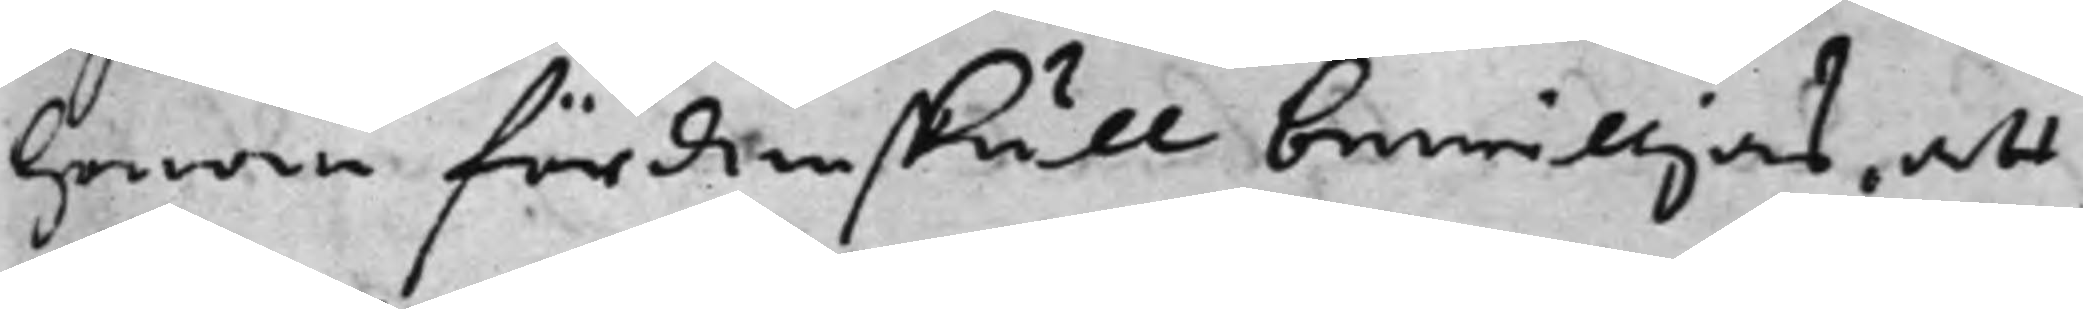honom fördenskull bewilljas, att
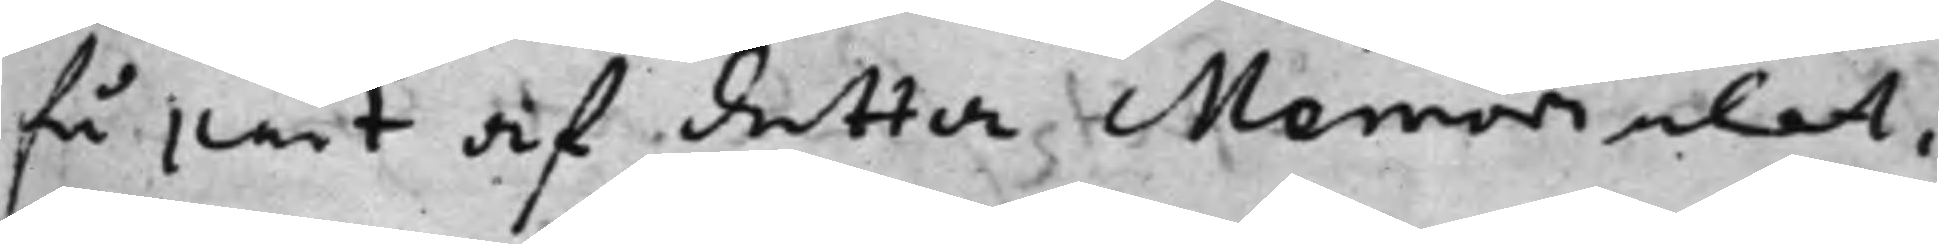få part af detta Memorialet,
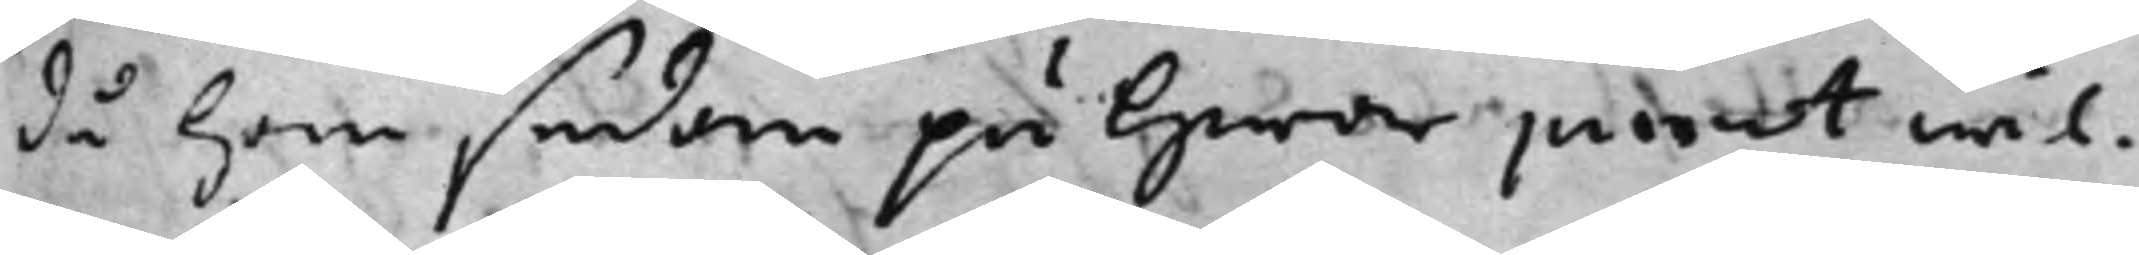då han sedan på hwar punct wil¬
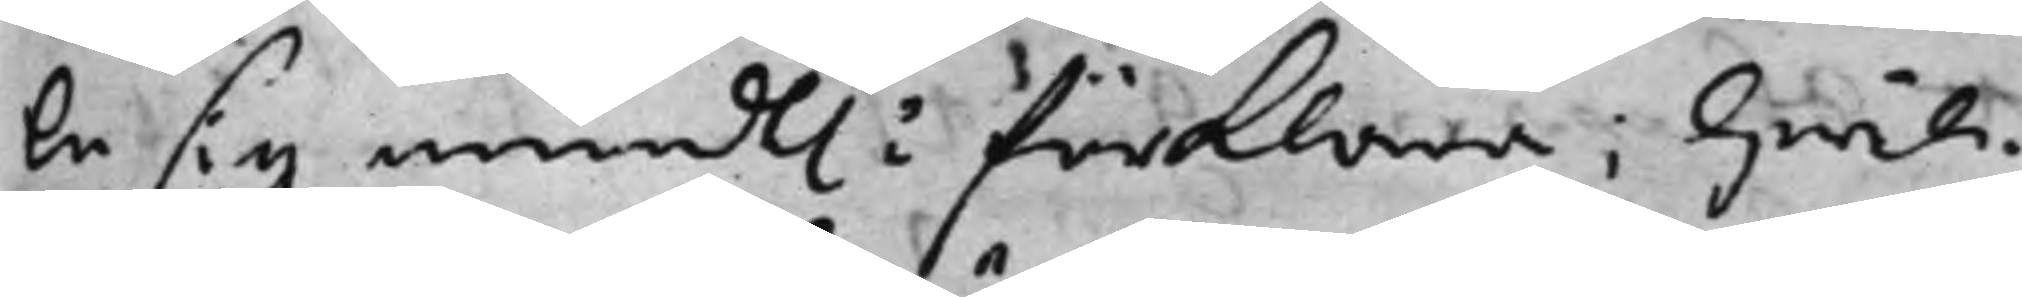le sig mundt: förklara; hwil¬ 
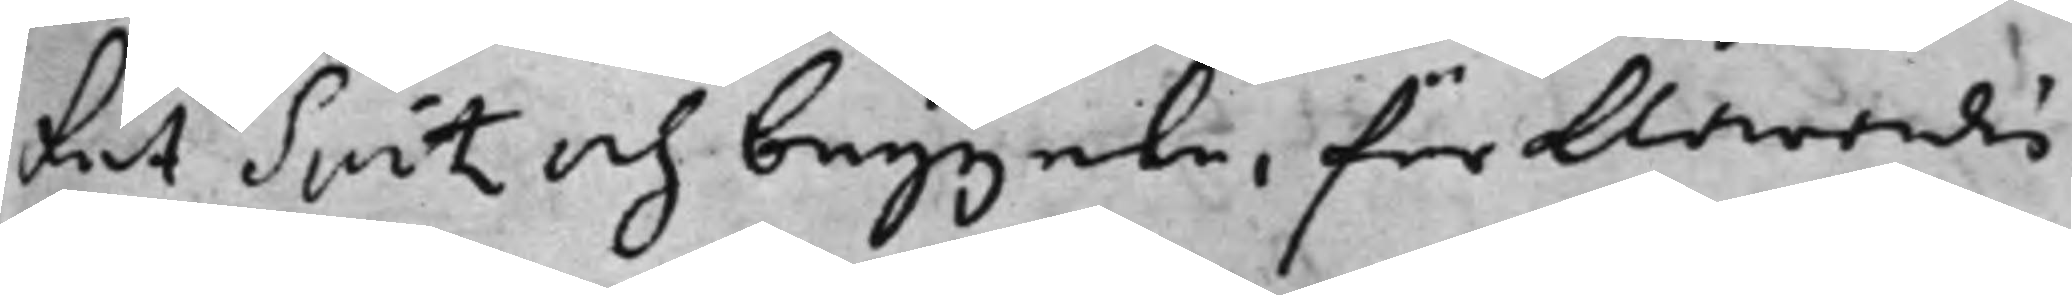ket Spitz och begynte, förklarandes
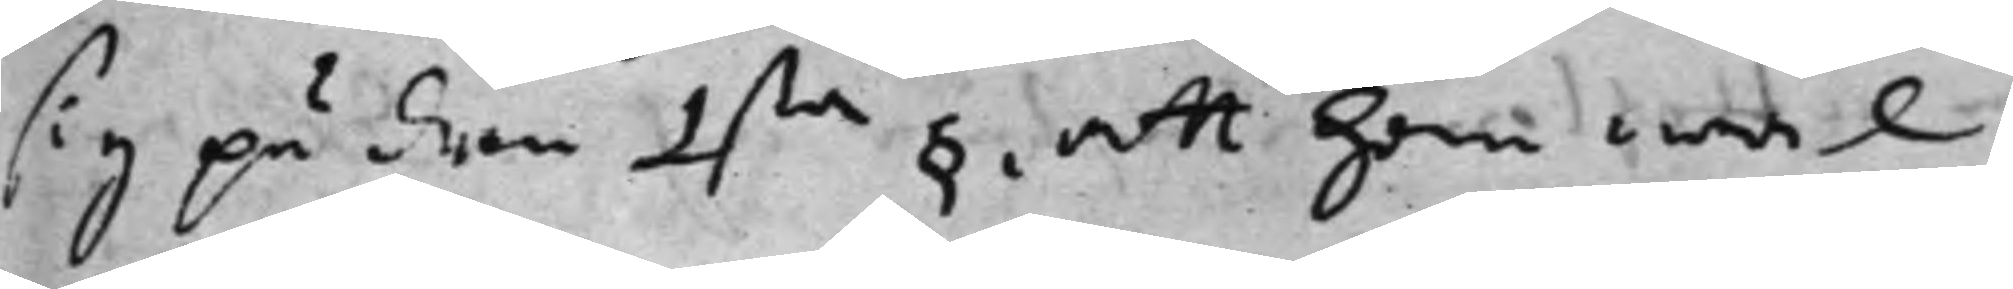sig på den 1ta § att han wäl 
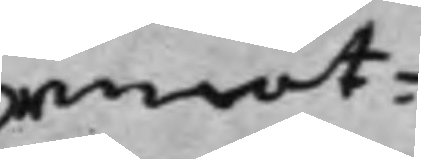emot¬
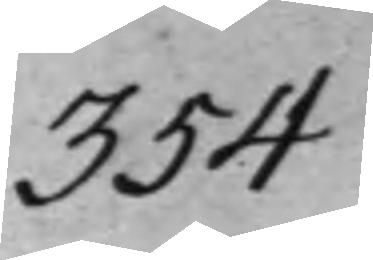354
